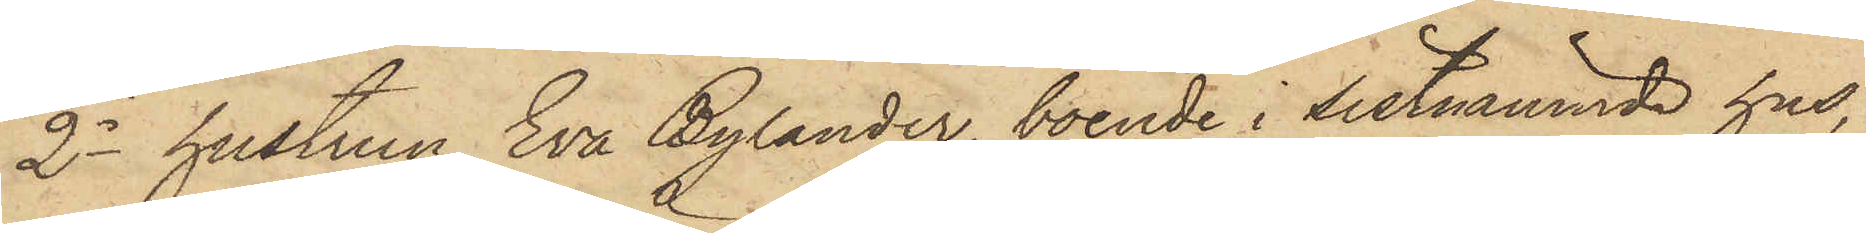2o hustrun Eva Bylander, boende i sistnämnde hus,
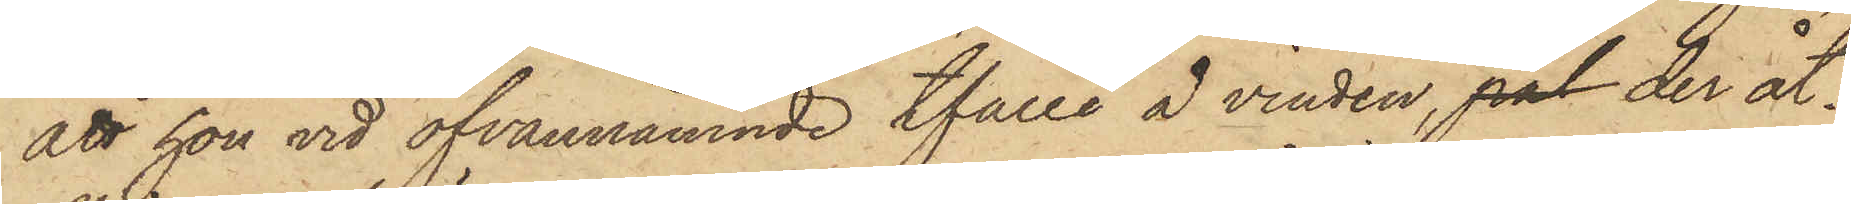att hon vid ofvannämnde tfälle å vinden, pal der åt¬
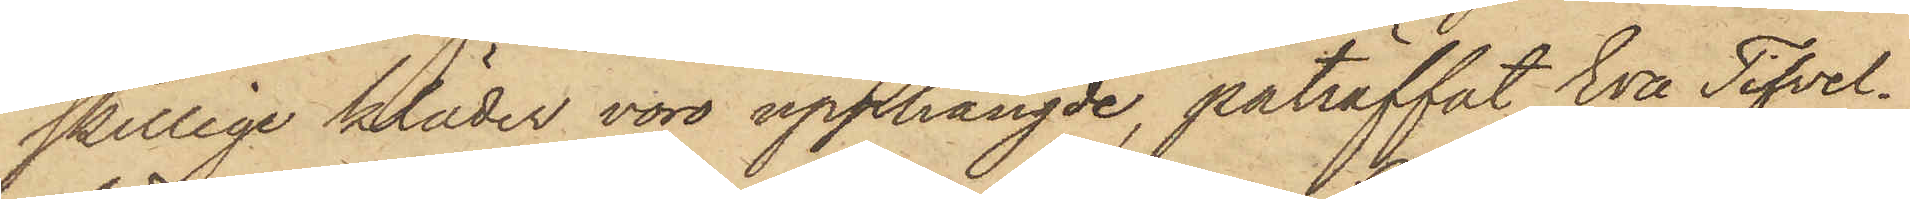skillige kläder voro upphängde, påträffat Eva Tifvel¬
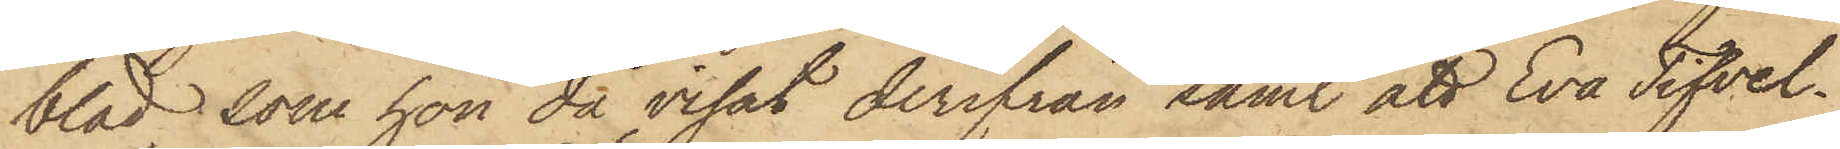blad, som hon då visat derifrån samt att Eva Tifvel¬
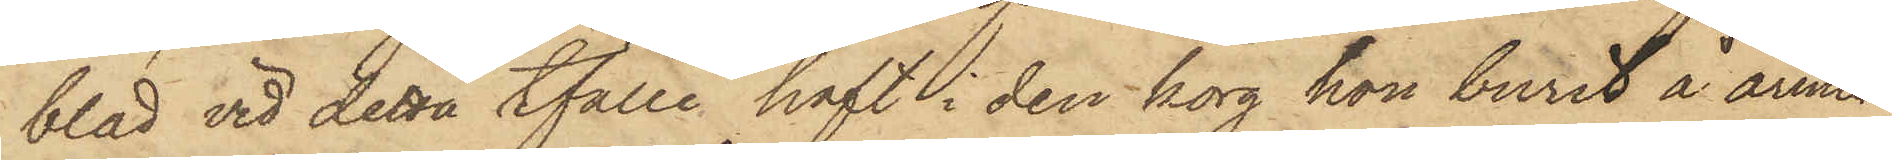blad vid detta tfälle haft i den korg hon burit å armen
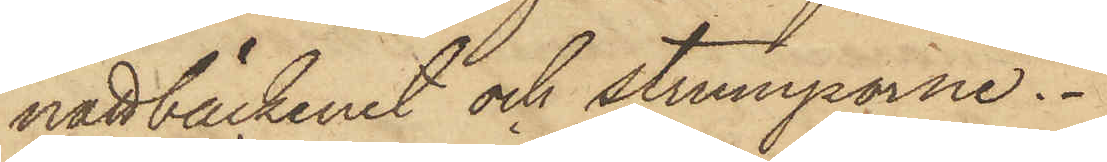nattbäckenet och strumporne.
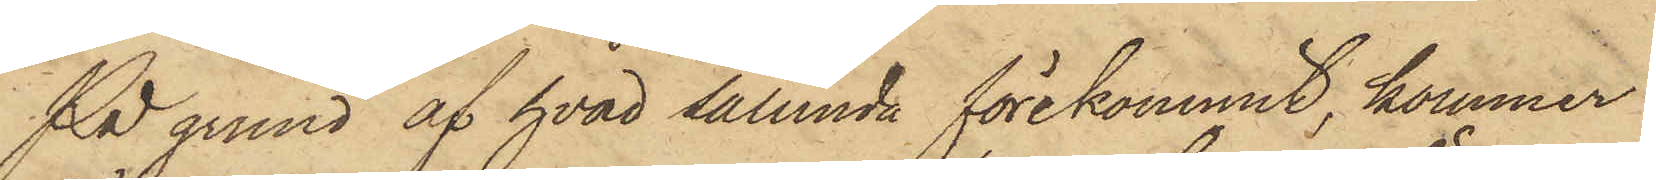På grund af hvad sålunda förekommit, kommer
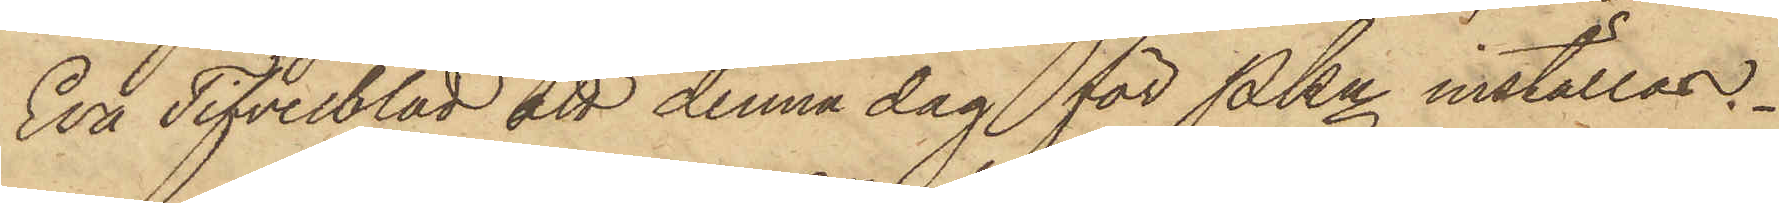Eva Tifvelblad att denna dag för PKn inställas.
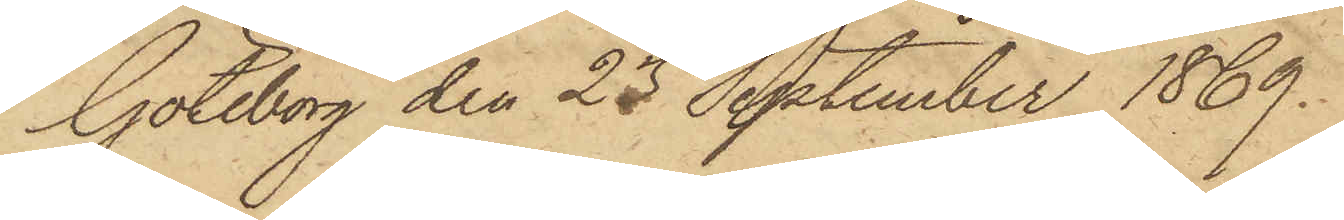Göteborg den 23 September 1869.
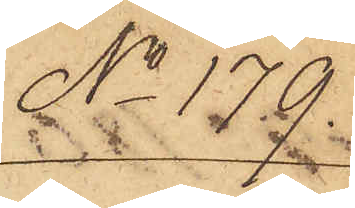No 179.
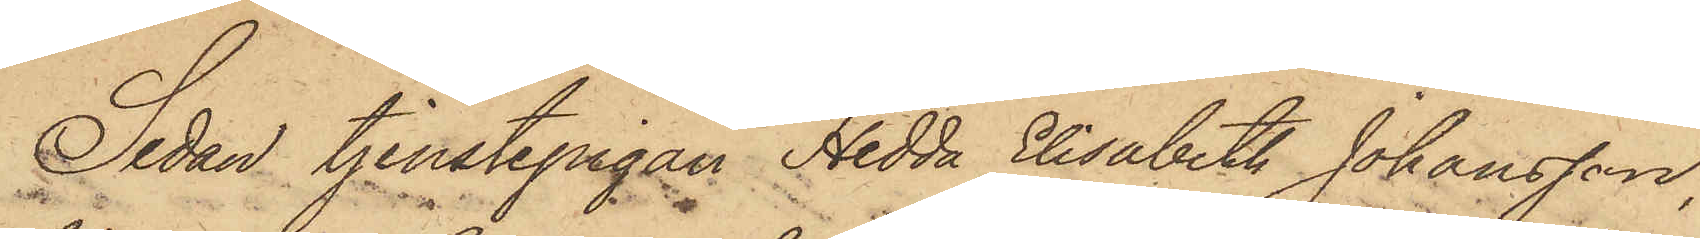Sedan tjenstepigan Hedda Elisabeth Johansson,
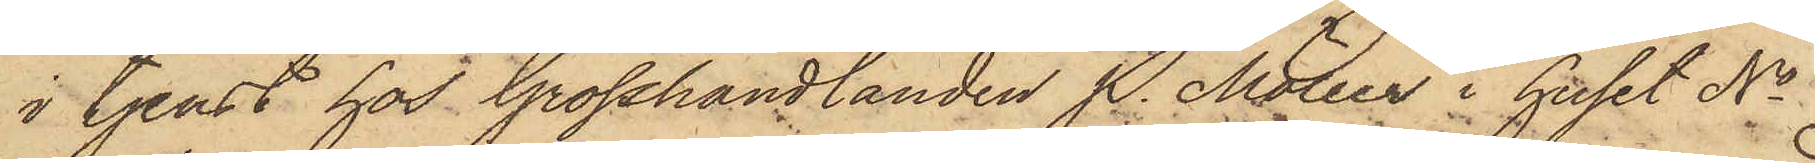i tjenst hos Grosshandlanden P. Möller i huset No
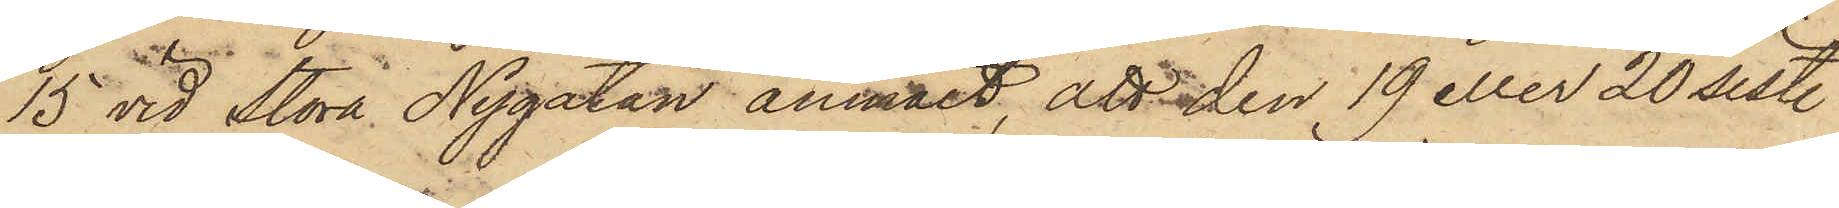15 vid Stora Nygatan anmält, att den 19 eller 20 sist.
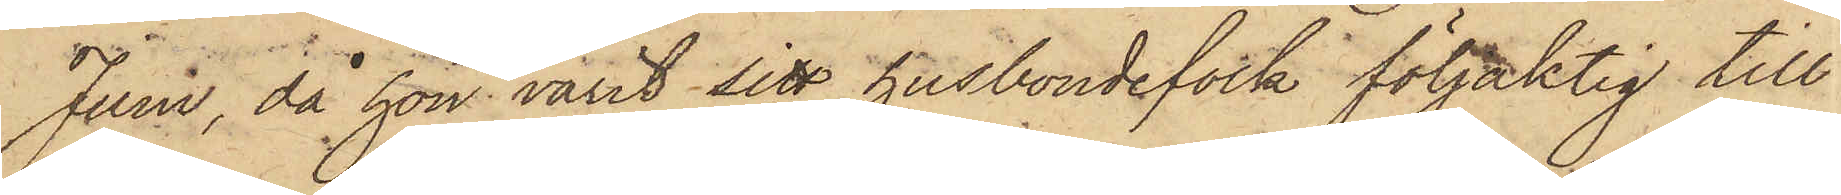Juni, då hon varit sitt husbondsfolk följaktig till
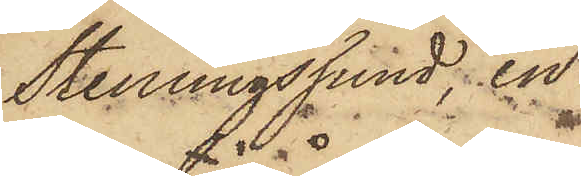Stenungssund, en
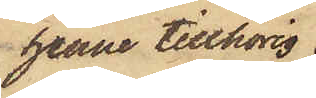henne tillhörig
